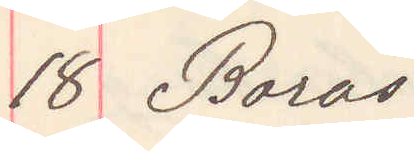18 Borås
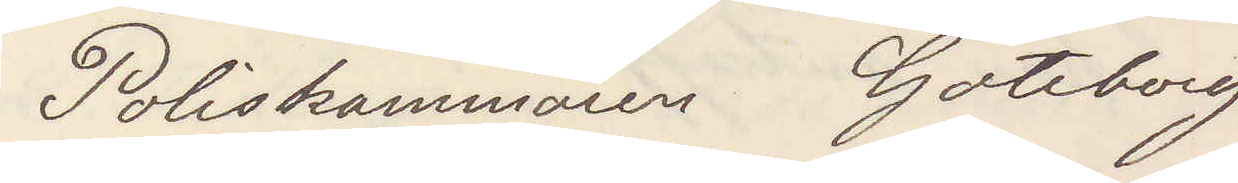Poliskammaren Göteborg
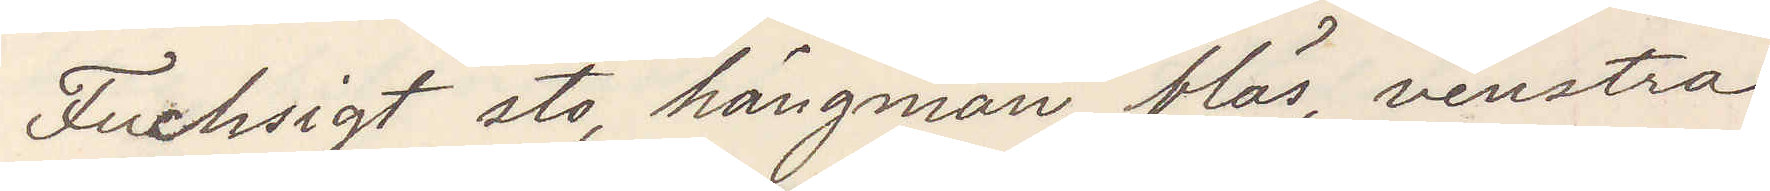Fuchsigt sto, hängman, bläs, venstra
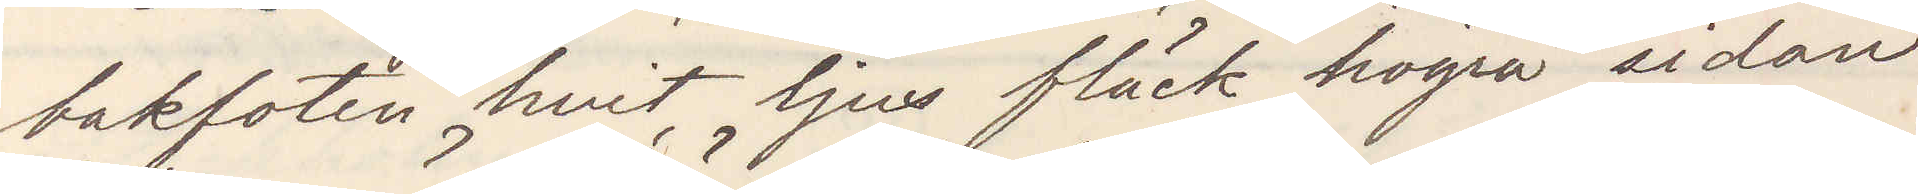bakfoten hvit ljus fläck högra sidan
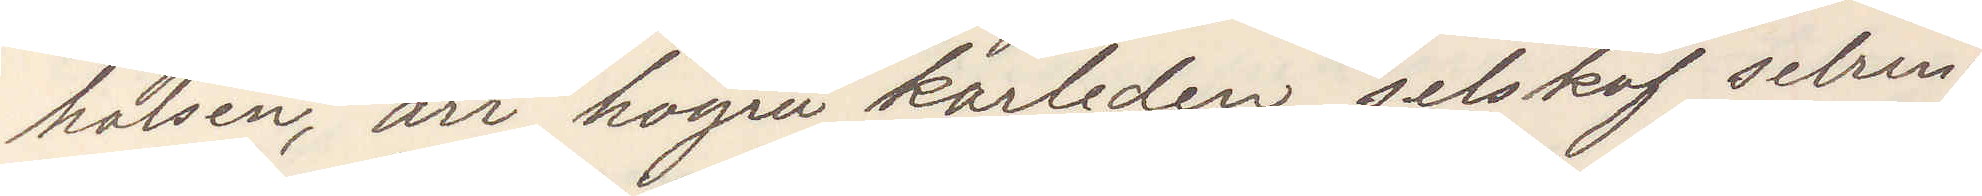halsen, ärr högra karleden, selskof selrin¬
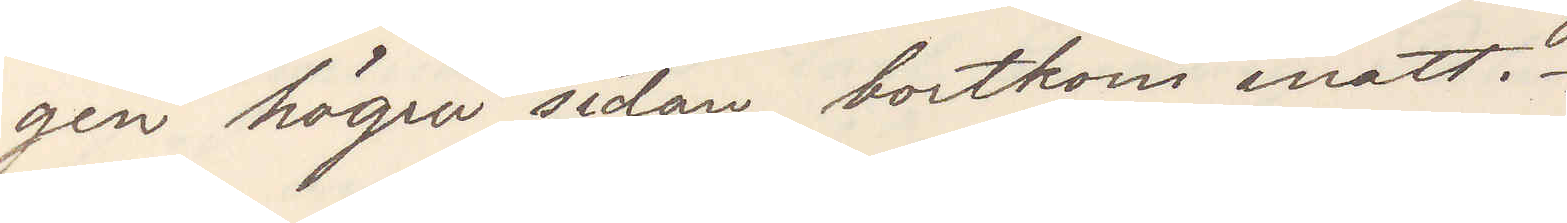gen högra sidan, bortkom inatt.
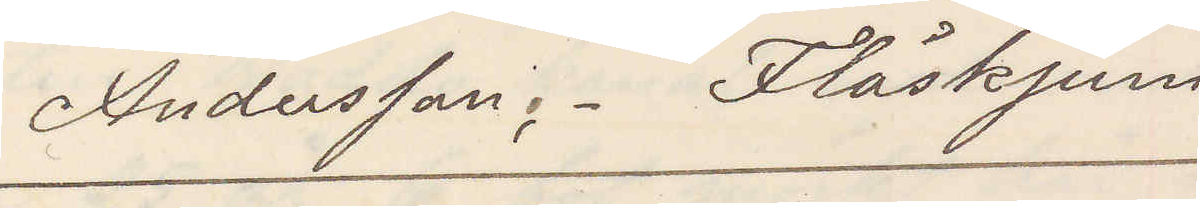Anderson. Fläskjum
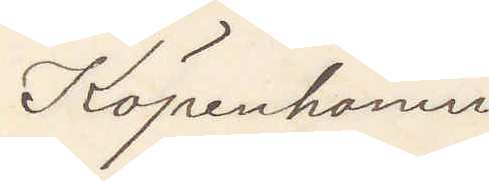Köpenhamn
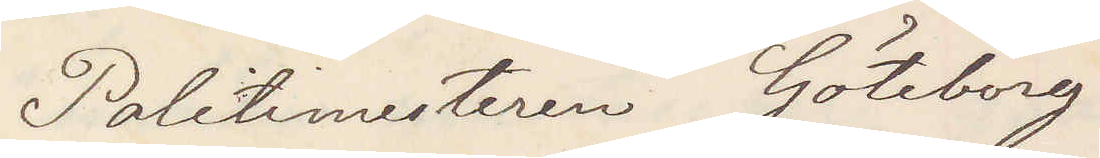Politimesteren Göteborg
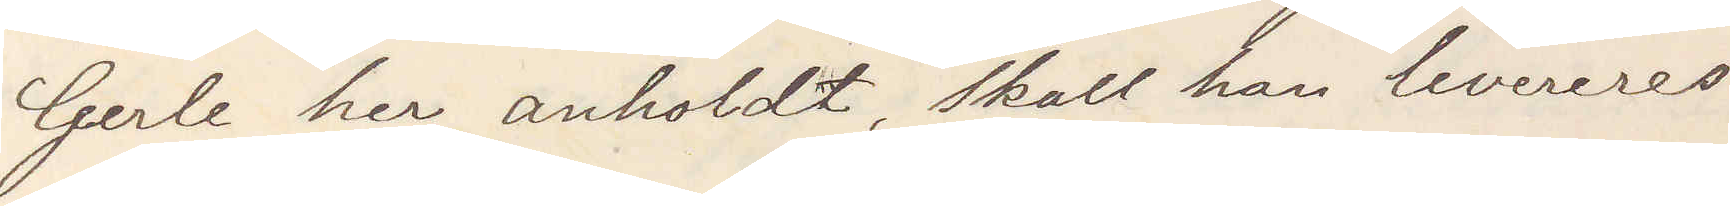Gerle her anholdt, skall han levereras
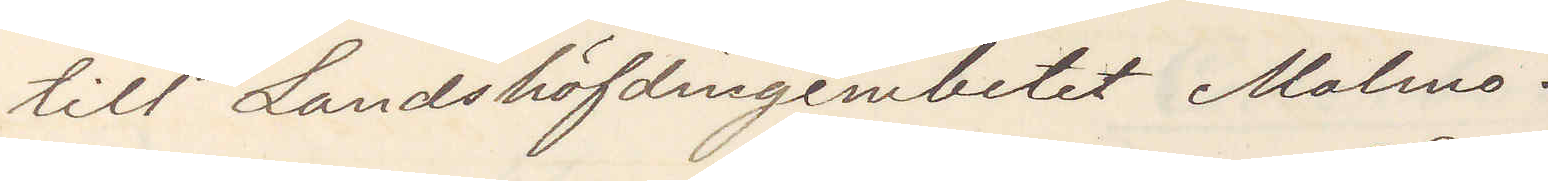till Landshöfdingeembetet Malmö.
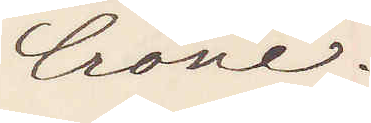Crone.
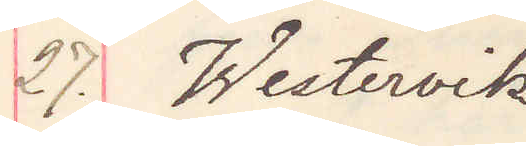27. Westervik
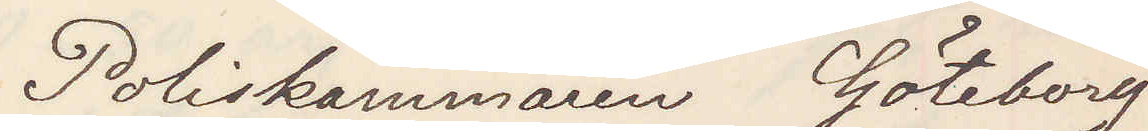Poliskammaren Göteborg
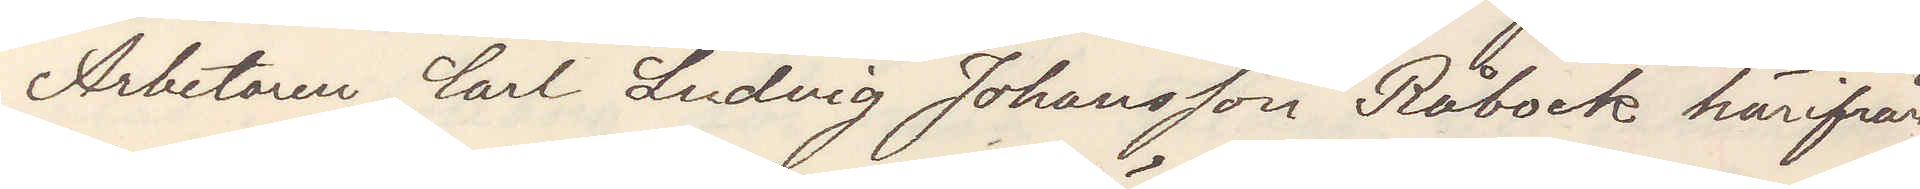Arbetaren Carl Ludvig Johansson Råbock härifrån
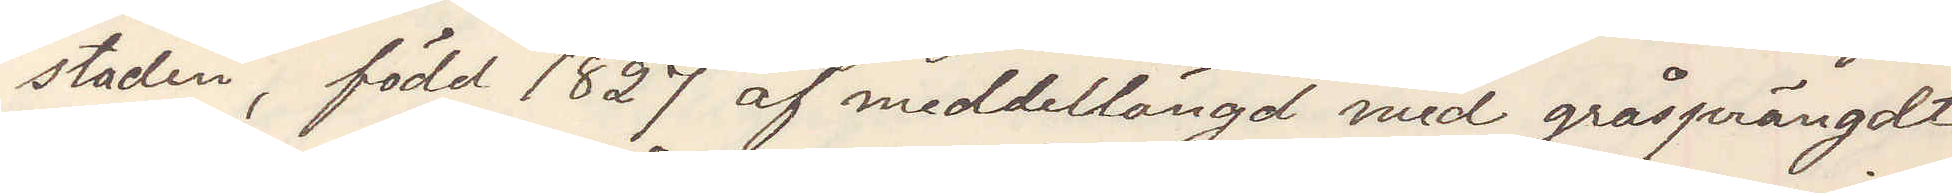staden, född 1827 af medellängd med gråsprängdt
